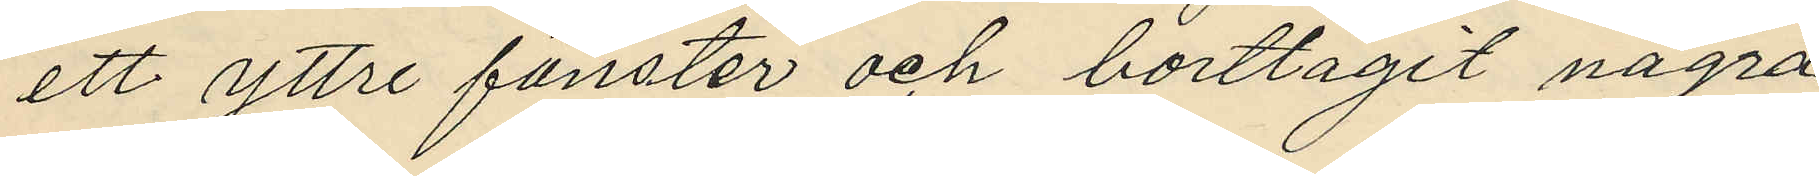ett yttre fönster och borttagit nagra
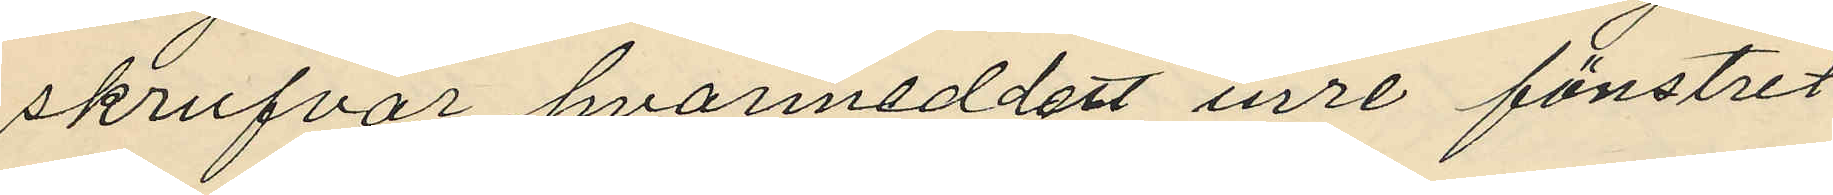skrufvar hvarmeddelst inre fönstret
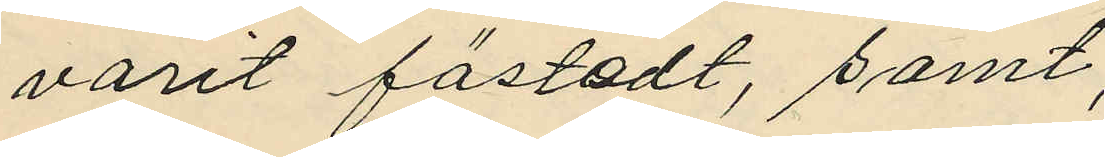varit fästadt, samt,
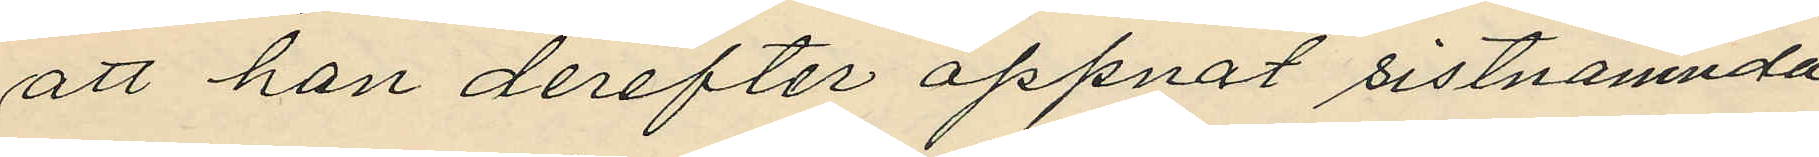att han derefter öppnat sistnämnda
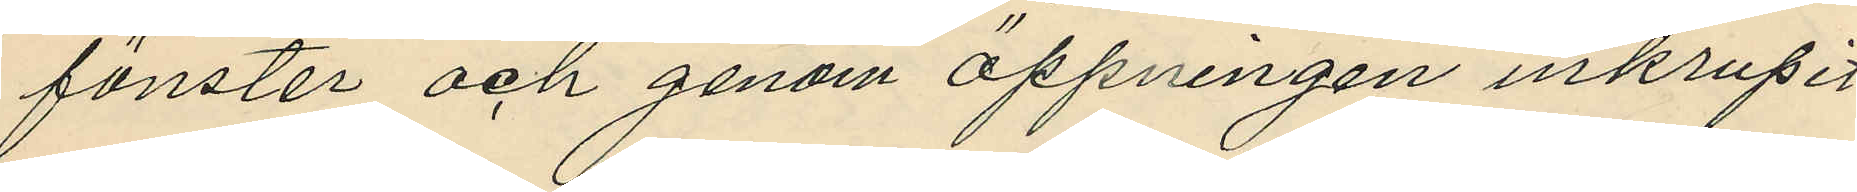fönster och genom öppningen inkrupit
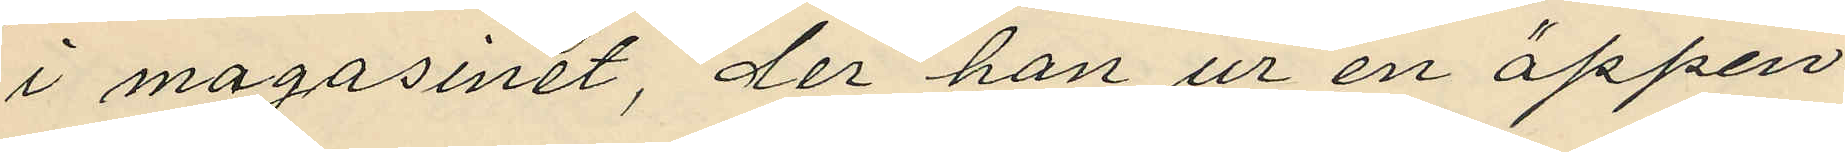i magasinet, der han ur en öppen
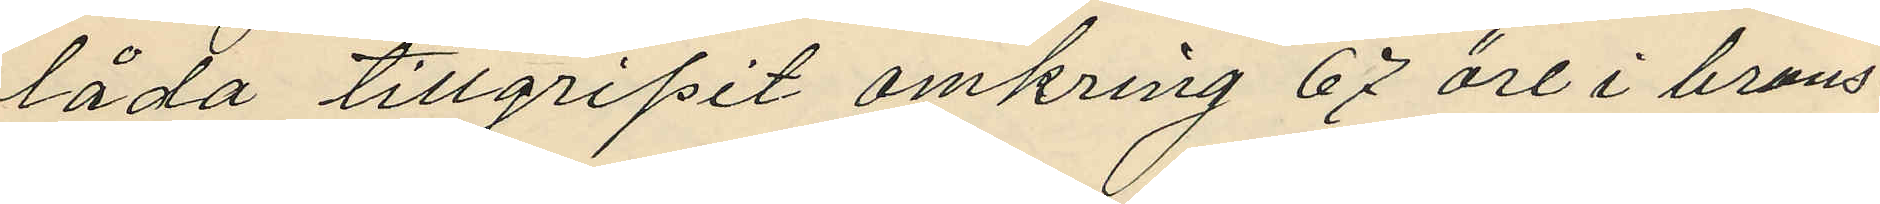låda tillgripit omkring 67 öre i brons¬
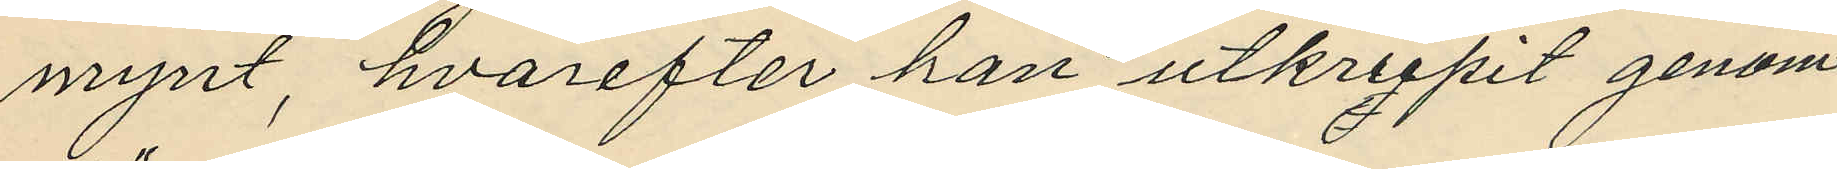mynt, hvarefter han utkrupit genom
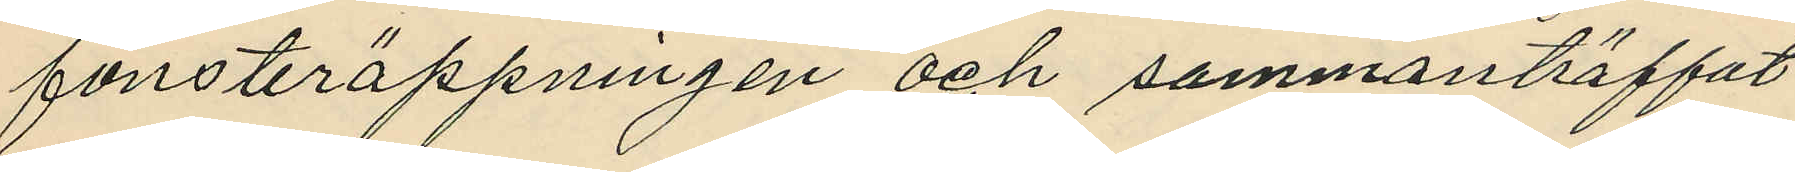fönsteröppningen och sammanträffat
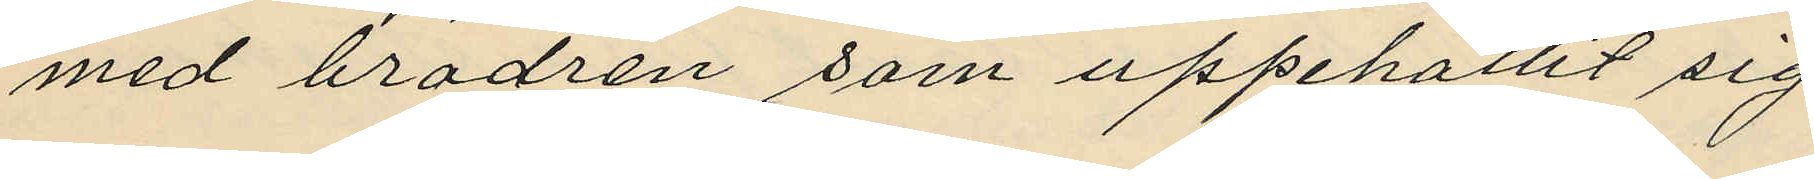med brodren som uppehållit sig
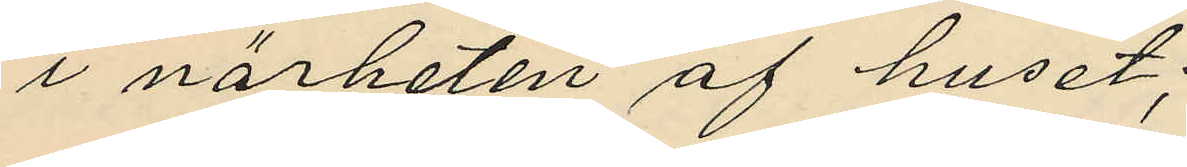i närheten af huset;
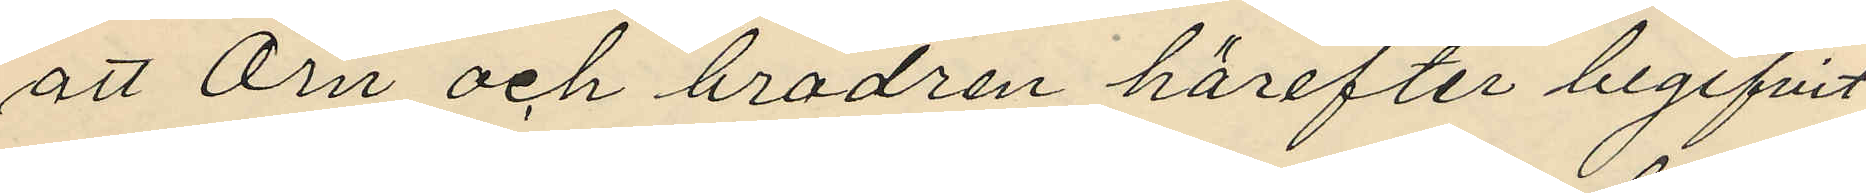att Örn och brodren härefter begifvit 
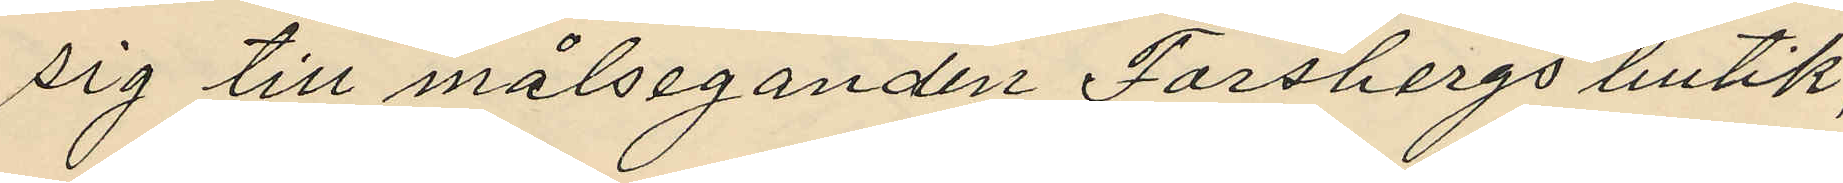sig till målseganden Forsbergs butik,
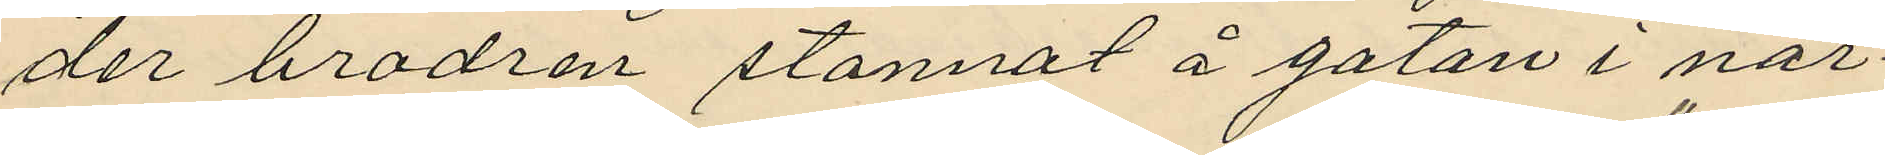der brodren stannat å gatan i när¬
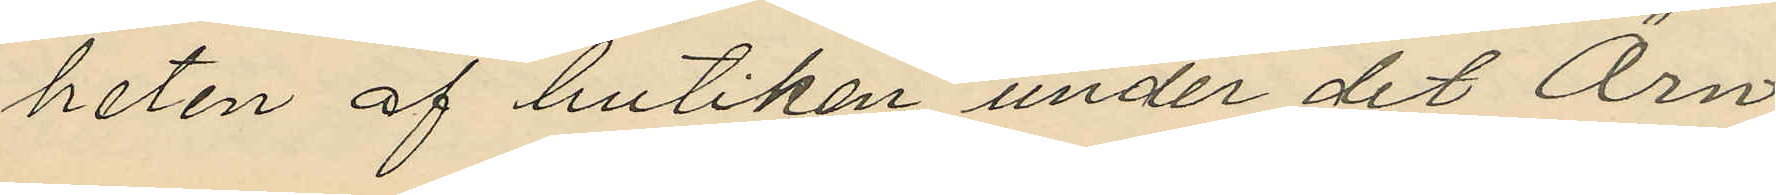heten af butiken, under det Örn
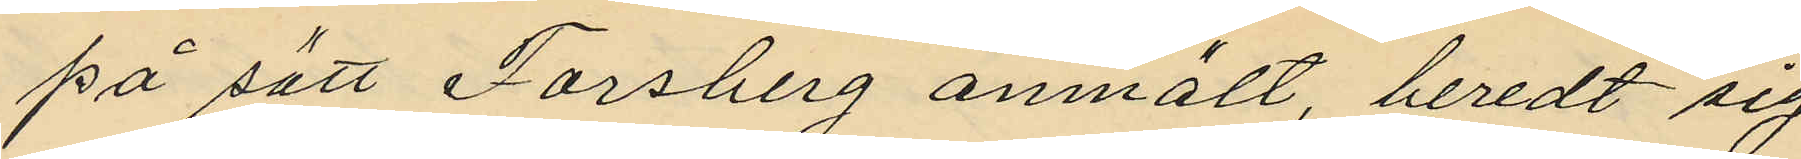på sätt Forsberg anmält, beredt sig
